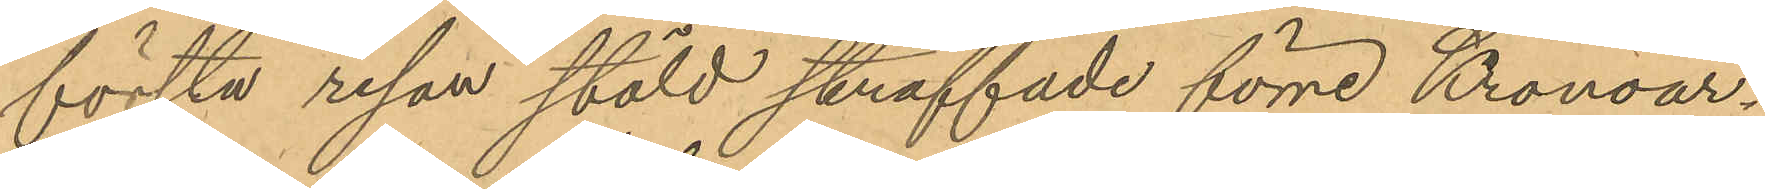första resan stöld straffade förre Kronoar¬
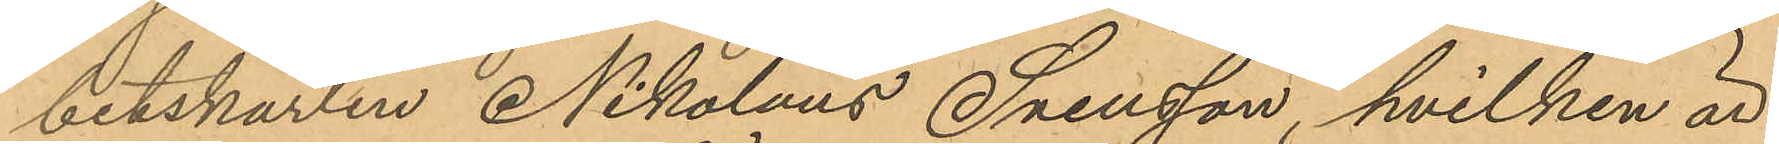betskarlen Nikolaus Svensson, hvilken är
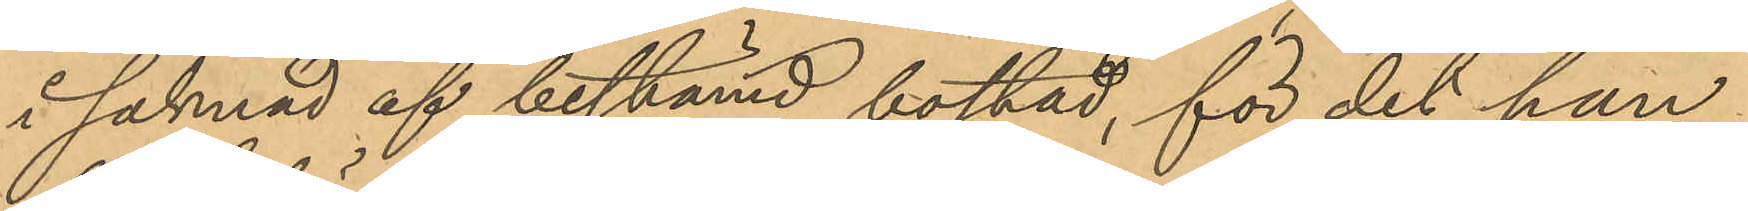i saknad af bestämd bostad, för det han
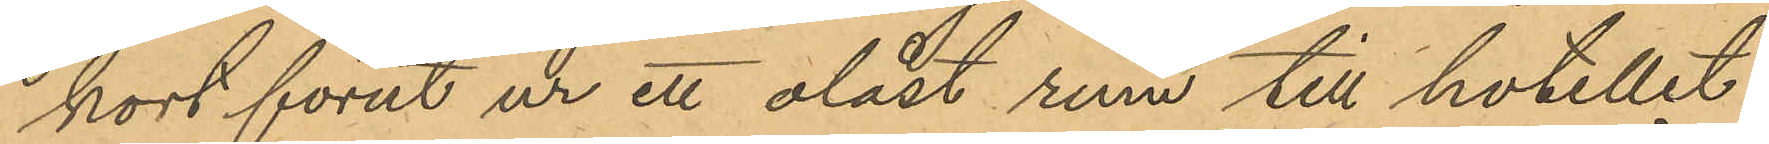kort förut ur ett olåst rum till hotellet
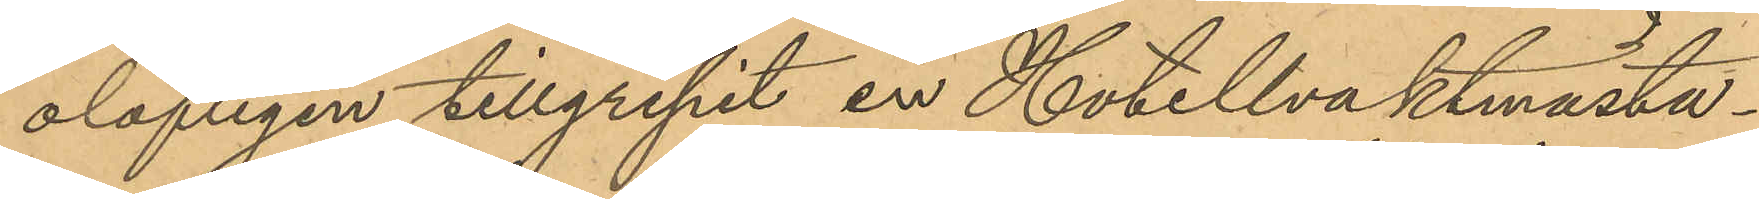olofligen tillgripit en Hotellvaktmästa¬
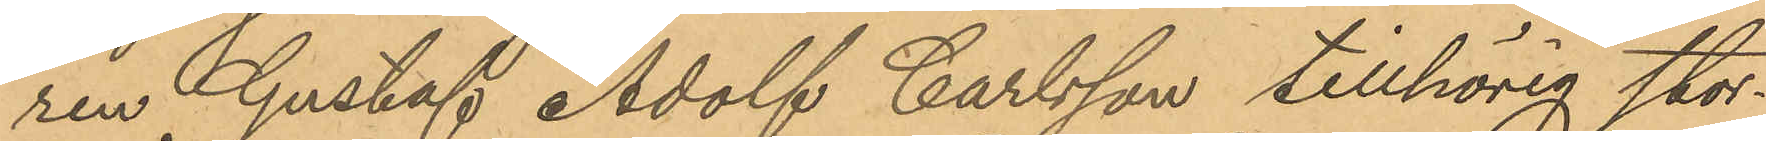ren Gustaf Adolf Carlsson tillhörig stor¬
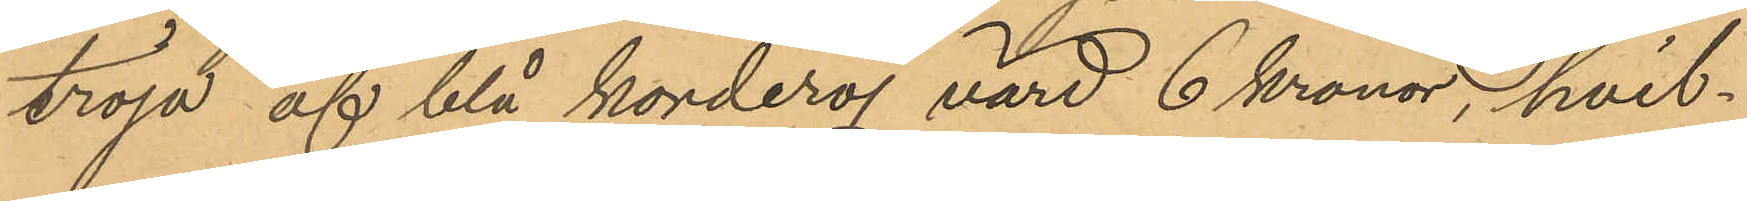tröja af blå korderoj värd 6 kronor, hvil¬
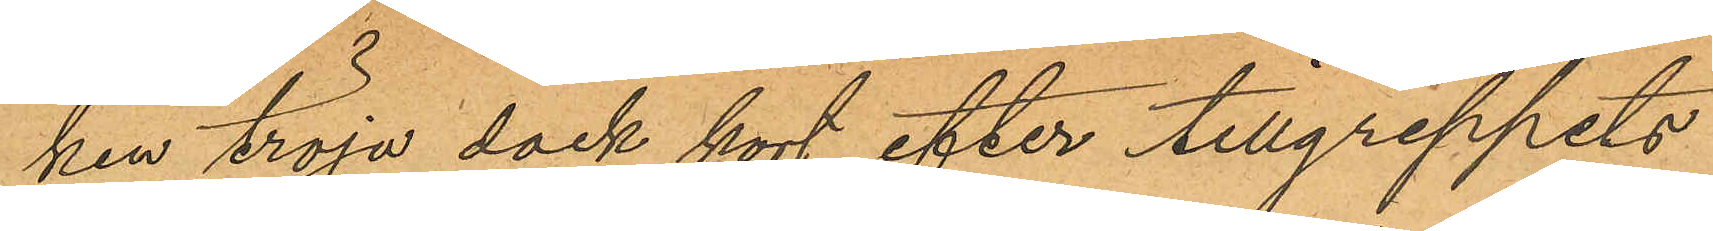ken tröja dock kort efter tillgreppets
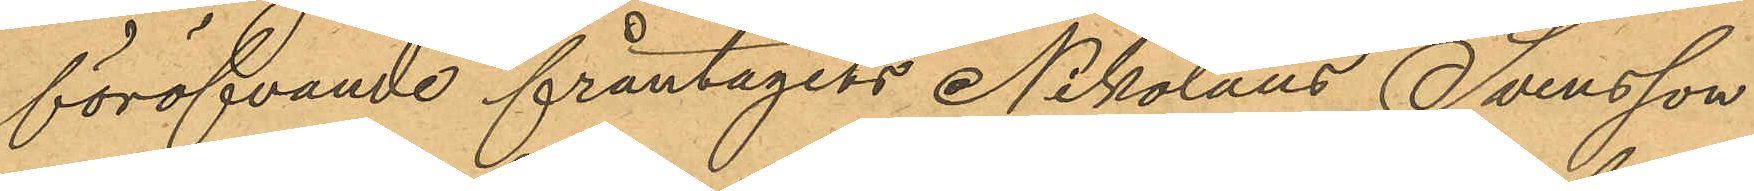föröfvande fråntagits Nikolaus Svensson
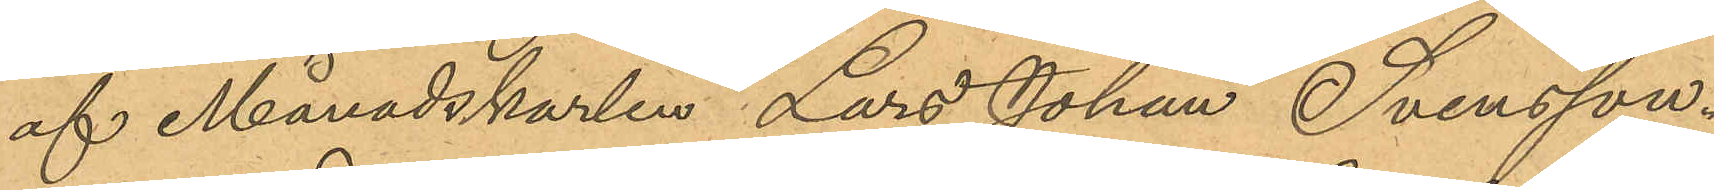af Månadskarlen Lars Johan Svensson.
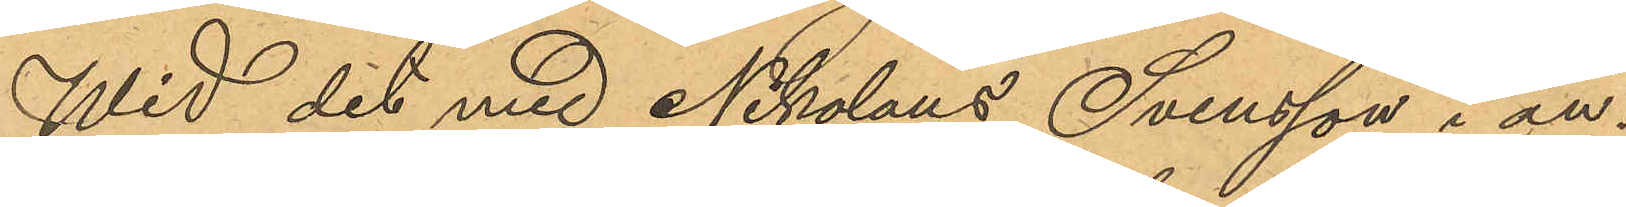Wid det med Nikolaus Svensson i an¬
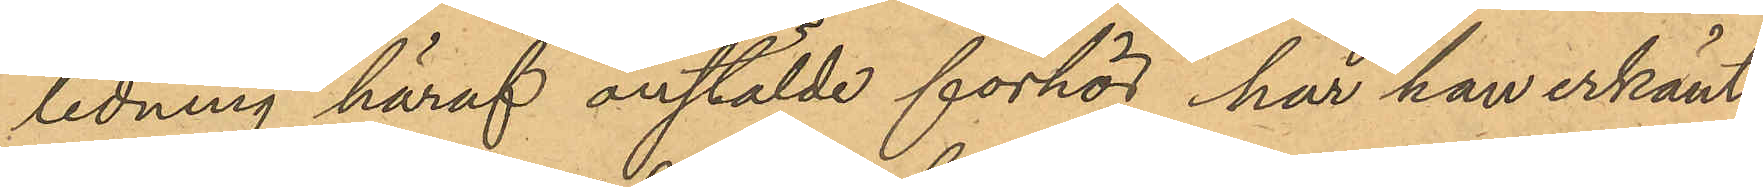ledning häraf anstälde förhör, har han erkänt
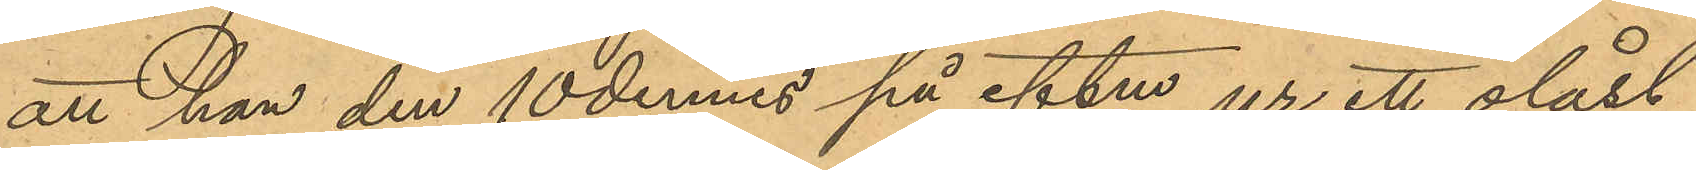att han den 10 dennes på eftm ur ett olåst
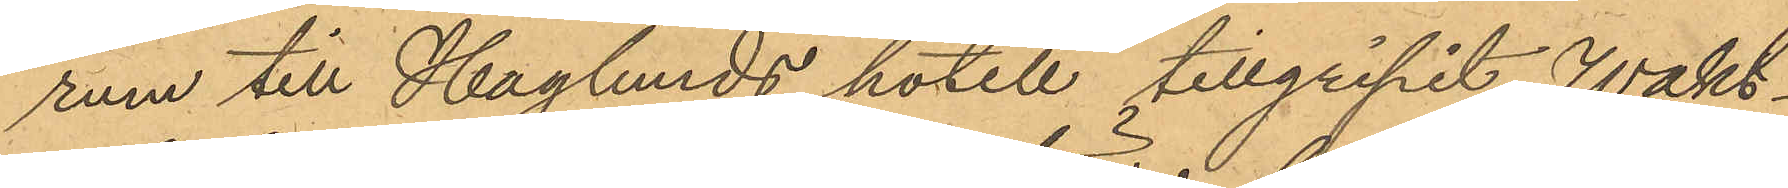rum till Haglunds hotell tillgripit Wakt¬
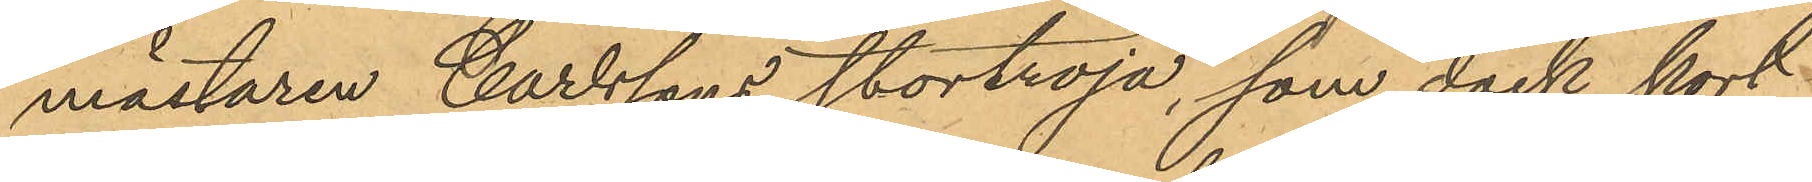mästaren Carlssons stortröja, som dock kort
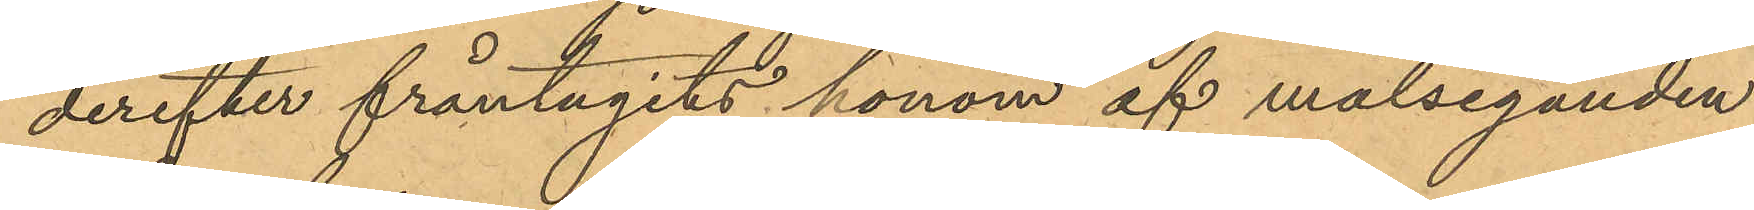derefter fråntagits honom af målseganden
